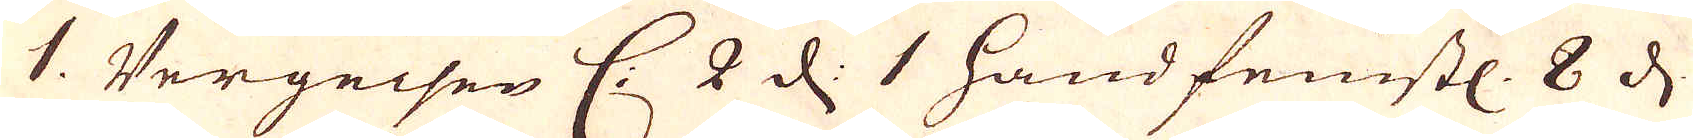1. Vergeisen C: 2 d: 1 handfeinstl. 8 d.
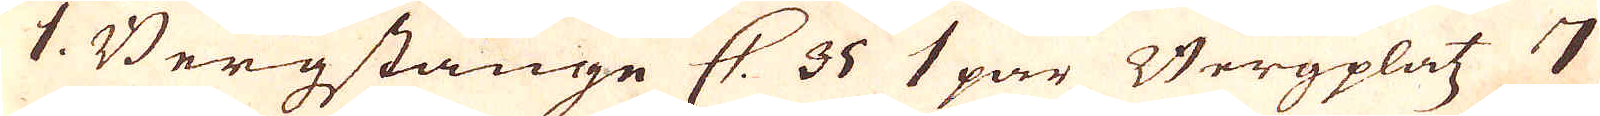1. Bergstange C. 35 1 par Bergplatz 7
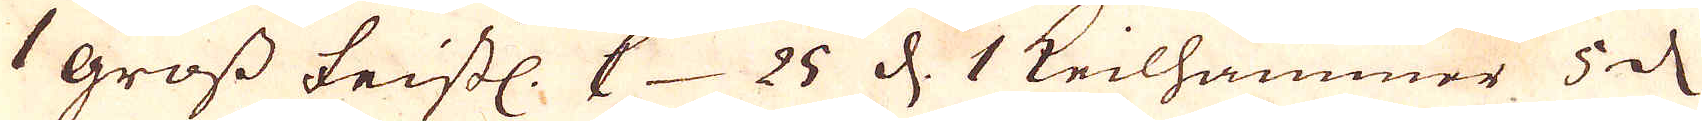1 gross feistl. C 25 d. 1 Keilhammer 5 d
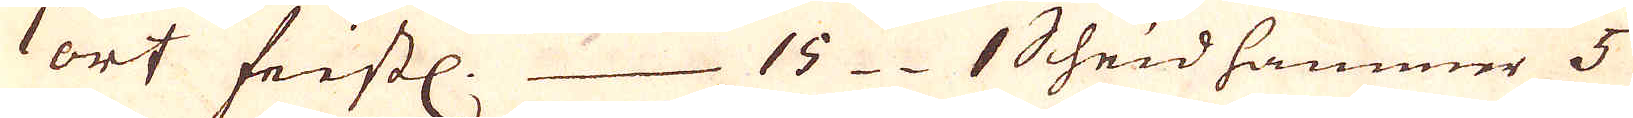1 ort feistl. 15 1 Scheidhammer 5
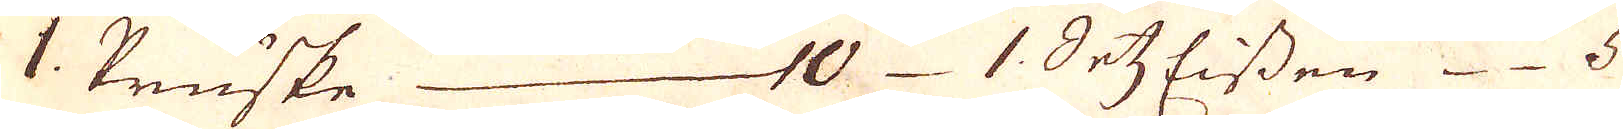1 Pruske 10 1 ErtzEissen 5
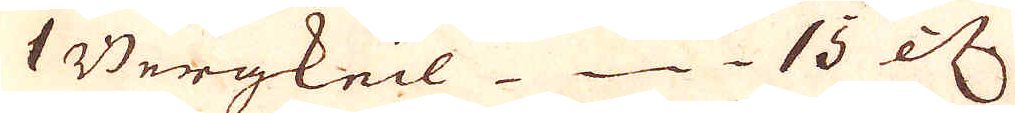1 Bergkeil 13 etc.
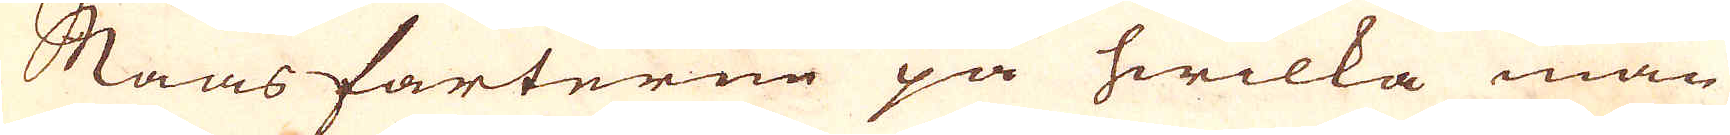Maas farterne på hwilka man
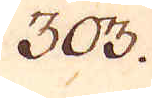303.
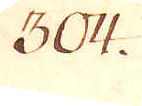304.
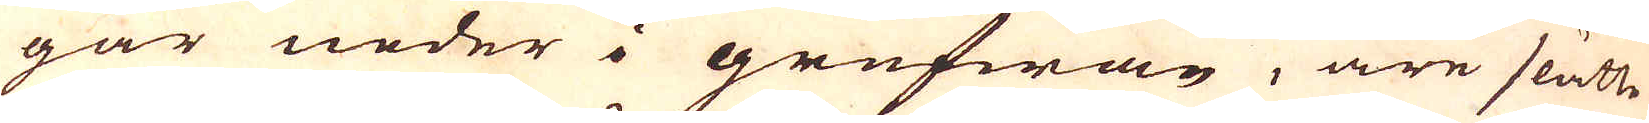går neder i grufwan, äre slätte
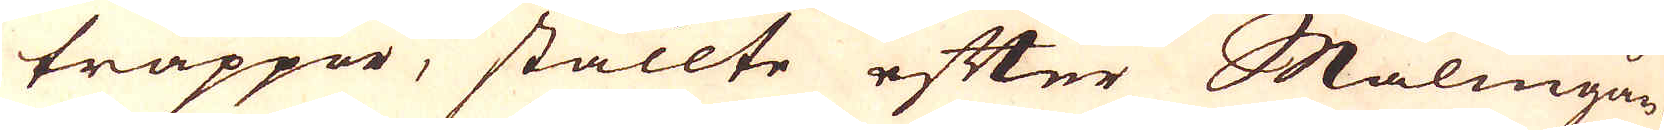trappor, ställte efter Malmgån-
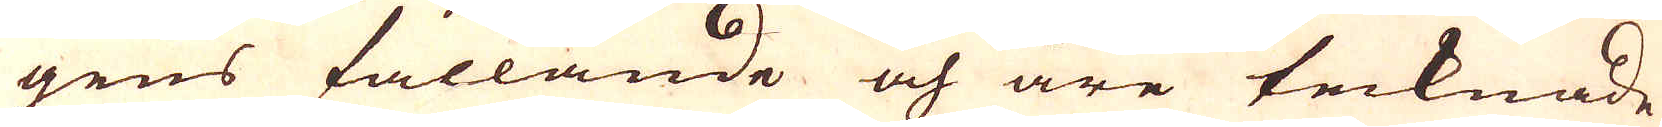gens fallande och äre tecknade
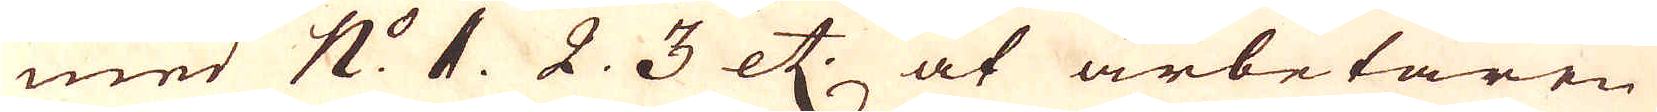med n:o 1. 2. 3 etc. at arbetarne
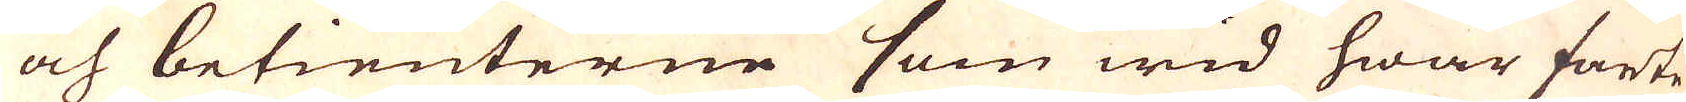och betienterne som wid hwar farte
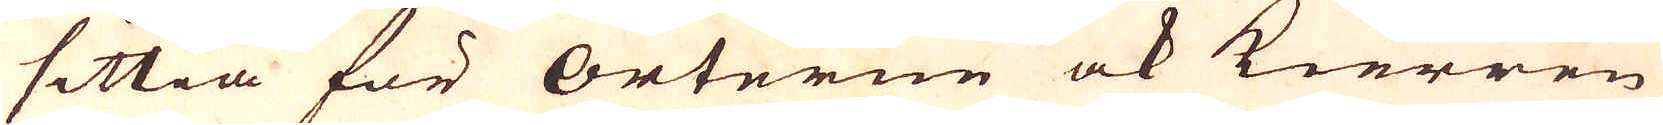sittia för orterne ock kierren
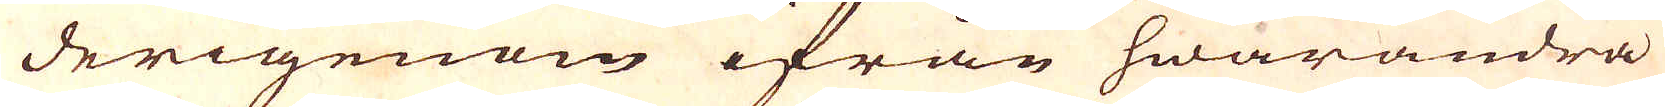derigenom ifrån hwarandra
